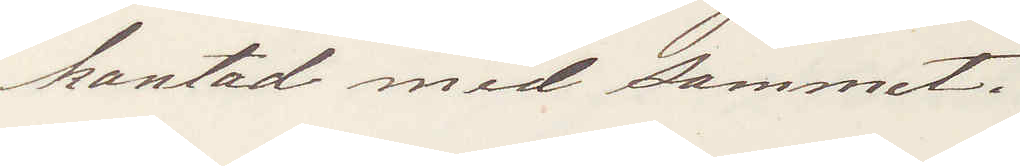kantad med sammet.
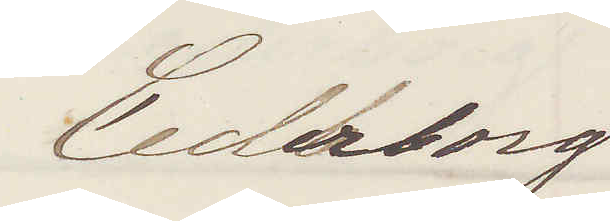Cederborg
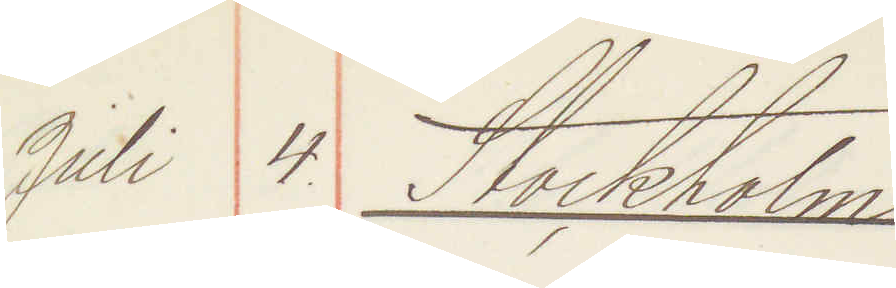Juli 4. Stockholm
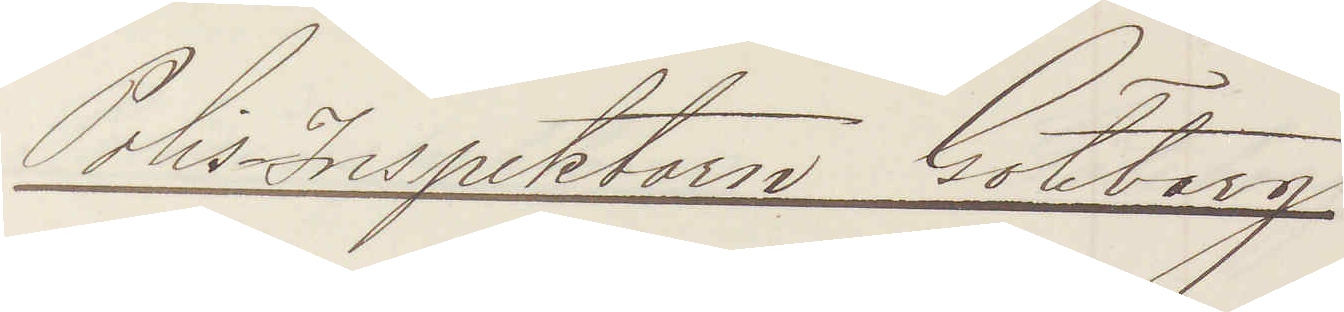Polisinspektorn Göteborg
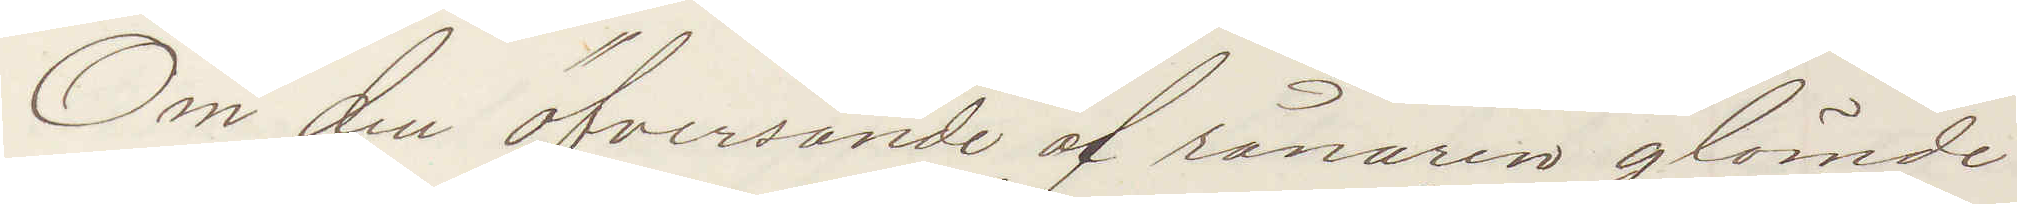Om den öfversände af rånaren glömde
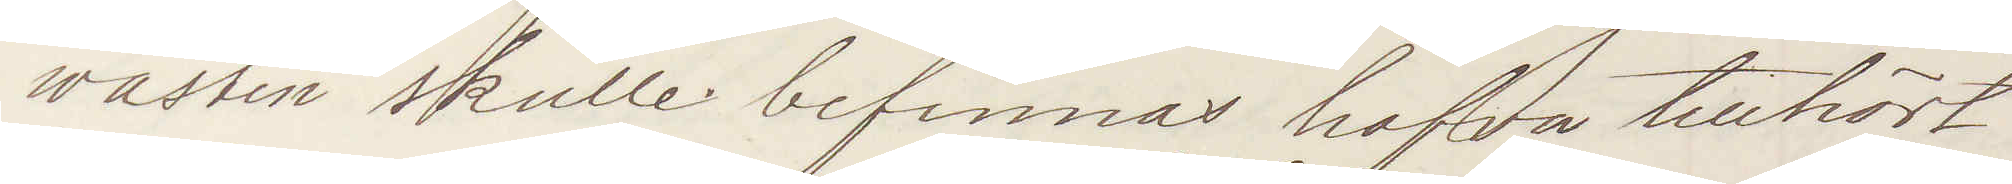wästen skulle befinnas hafva tillhört
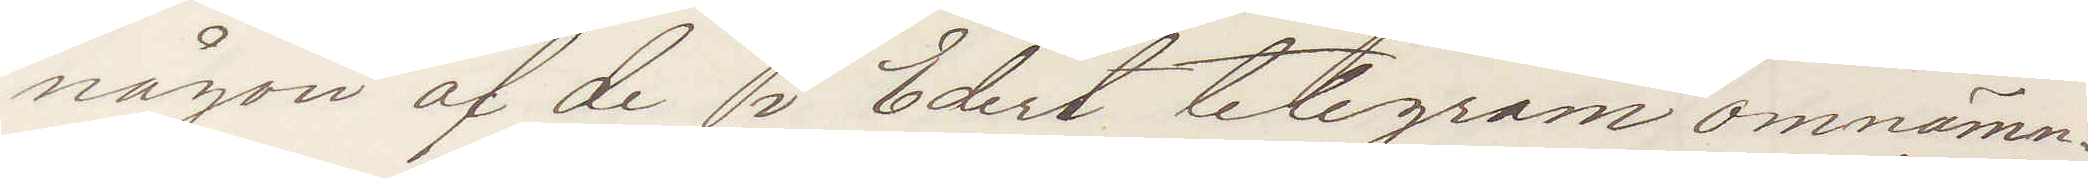någon af de i Edert telegram omnämn¬
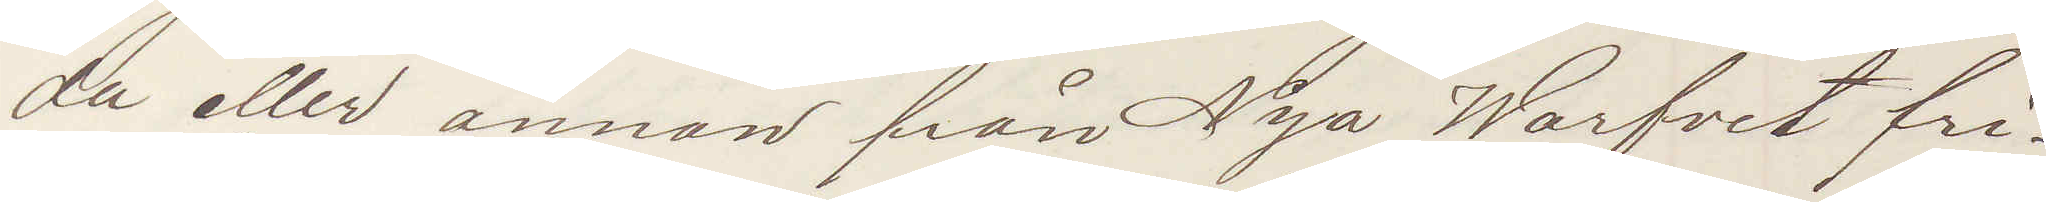da eller annan från Nya Warfvet fri¬
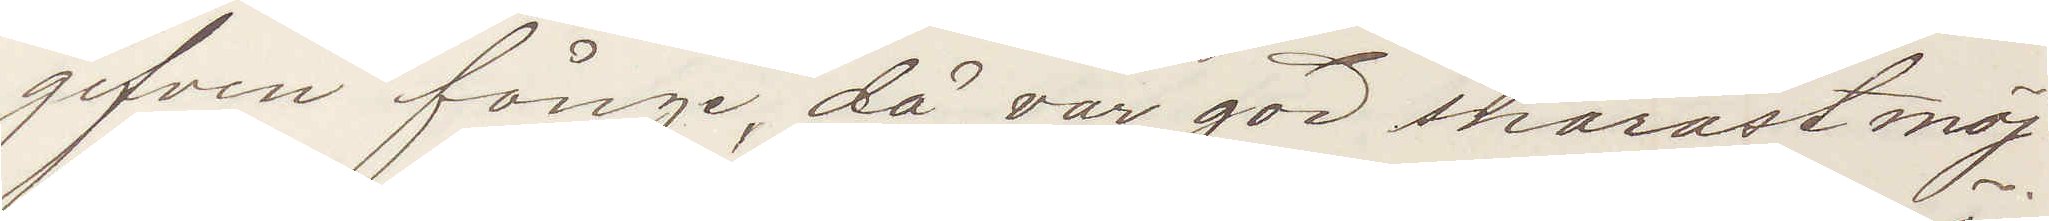gifven fånge, då var god snarats möj¬
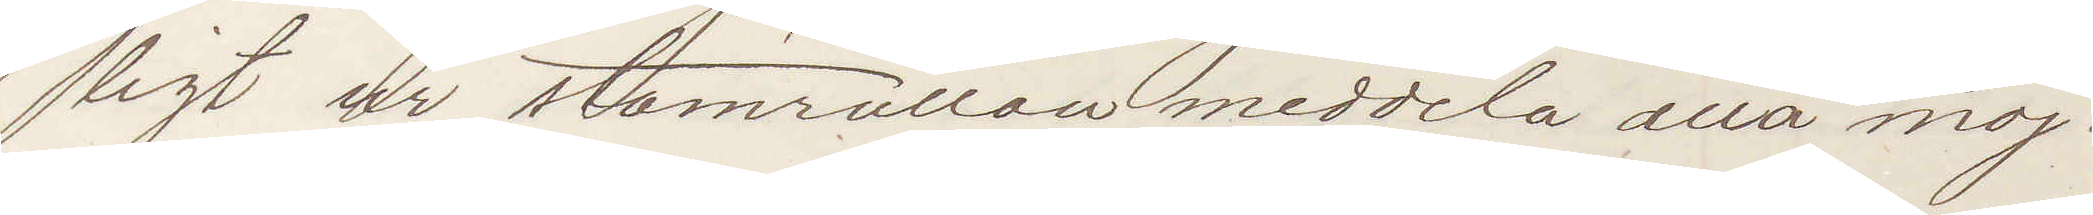ligt ur stamrullan meddela alla möj¬
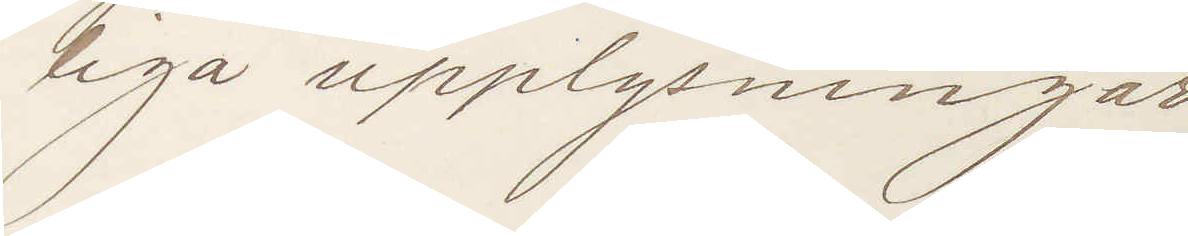liga upplysningar.
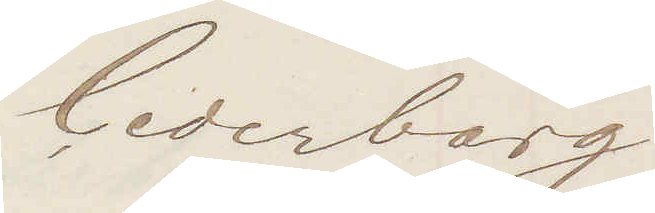Cederborg
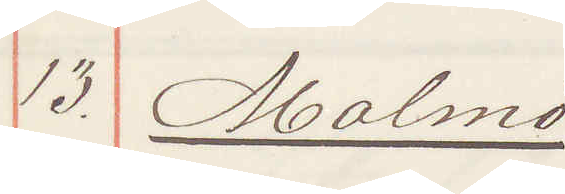13. Malmö
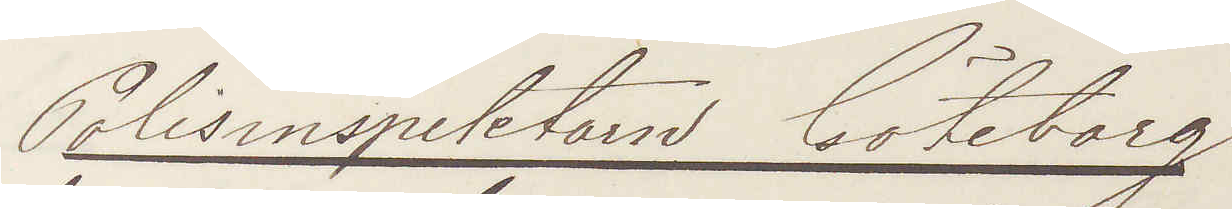Polisinspektorn Göteborg
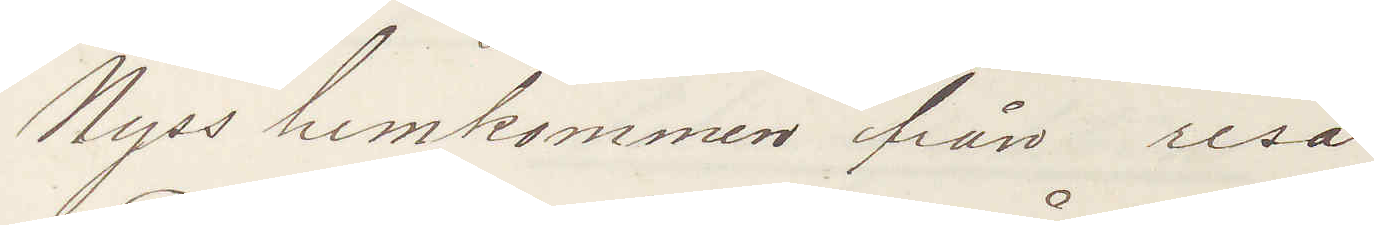Nyss hemkommen från resa.
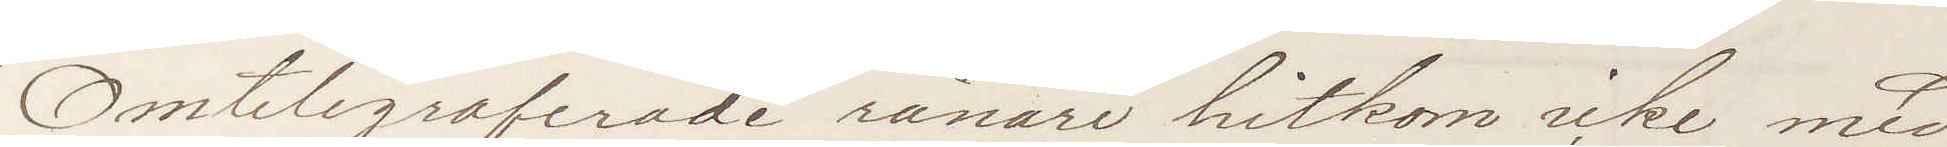Omtelegraferade rånare hitkom icke med
